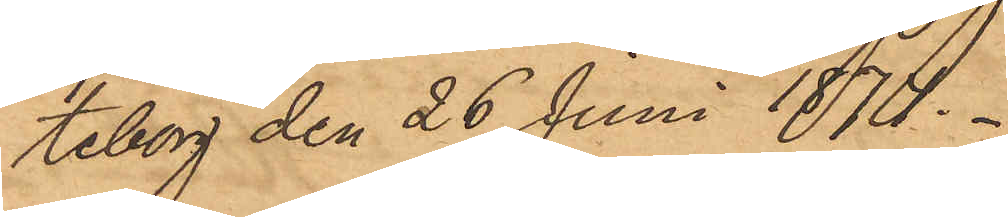teborg den 26 Juni 1874.
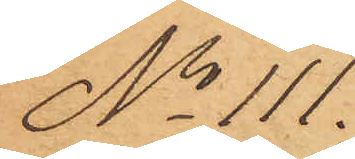No 111.
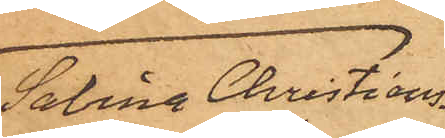Sabina Christians¬
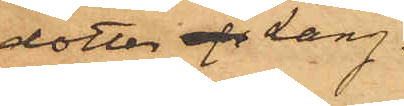dotter af Lang.
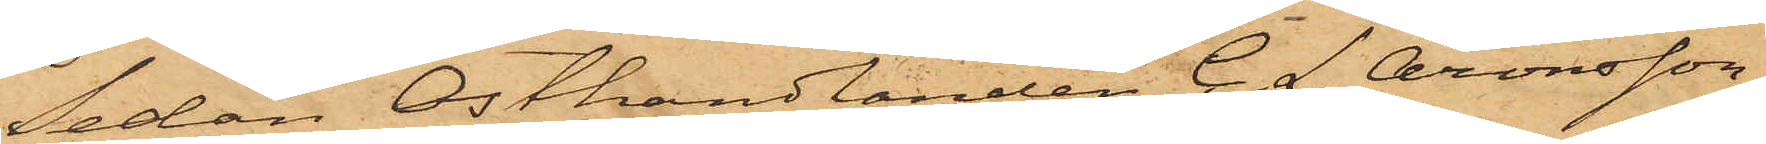Sedan Osthandlanden C. L. Aronsson,
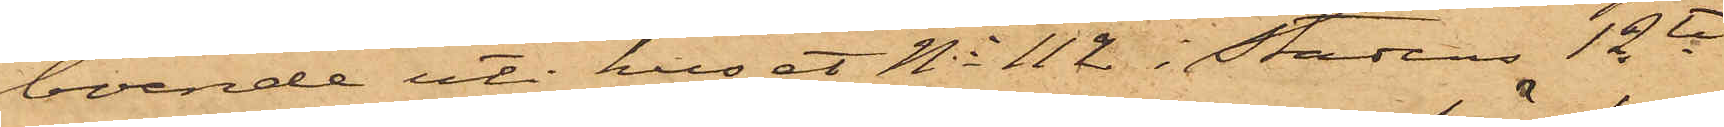boende uti huset No 112 i Stadens 12te
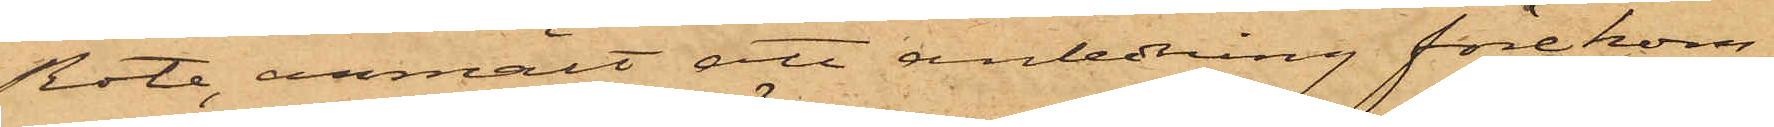Rote, anmält att anledning förekom¬
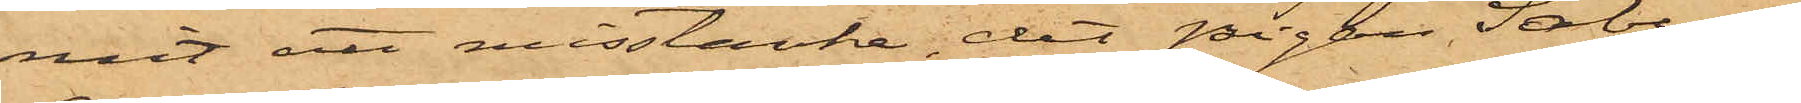mit att misstänka, det pigan Sabina
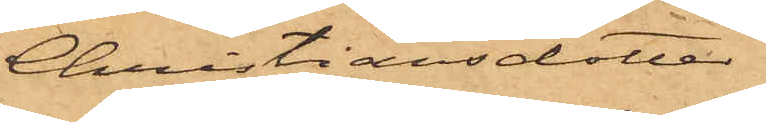Christiansdotter
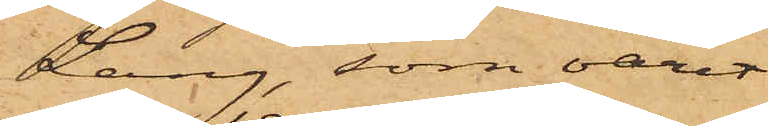Lang, som varit
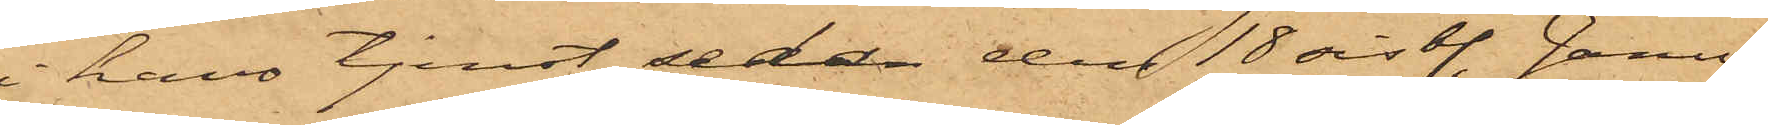i hans tjenst sedan den 18 sist. Janu¬
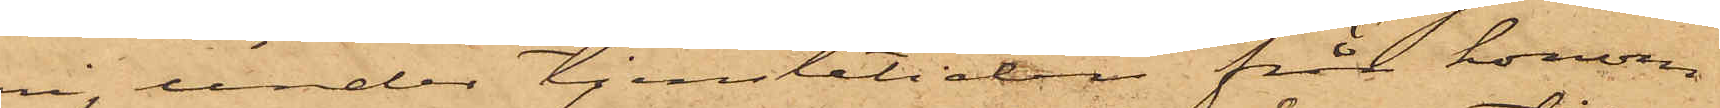ari, under tjenstetiden från honom
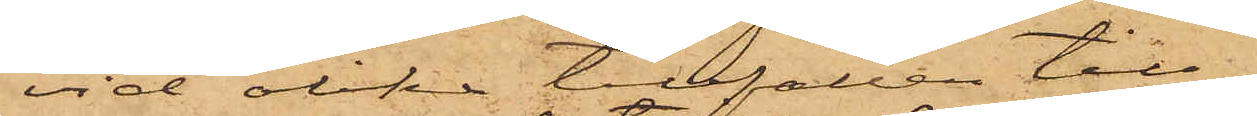vid olika tillfällen till¬
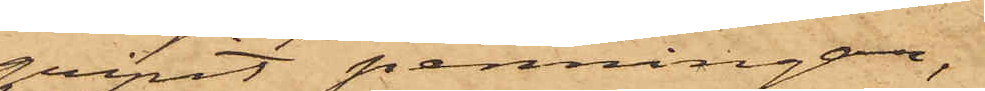gripit penningar,
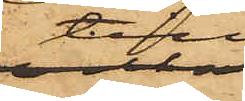till
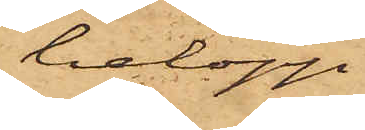belopp
